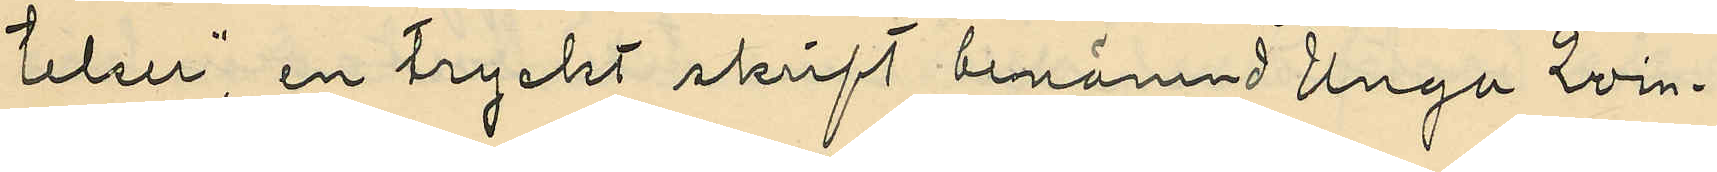telser", en tryckt skrift benämnd "Unga Qvin¬
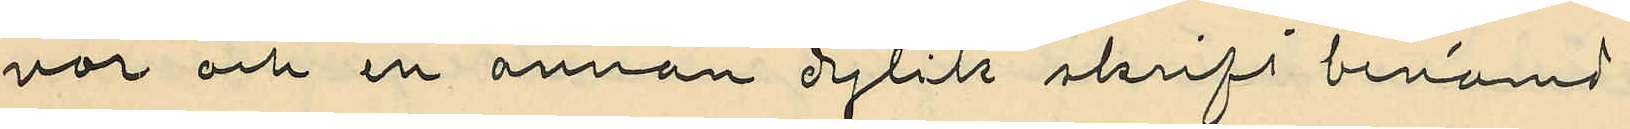nor" och en annan dylik skrift benämnd
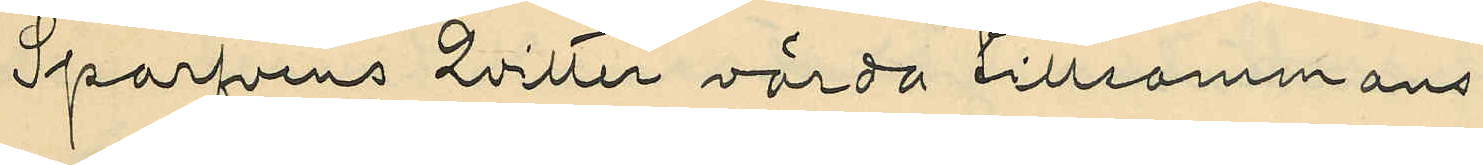"Sparfvens Qvitter" värda tillsammans
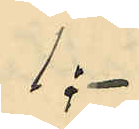1:-
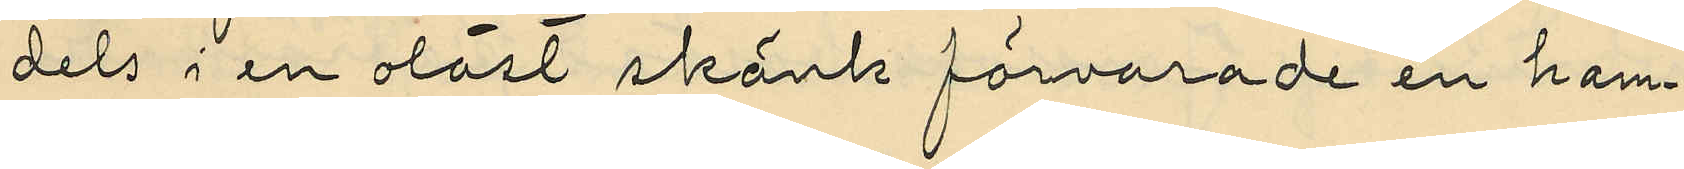dels i en olåst skänk förvarade en ham¬
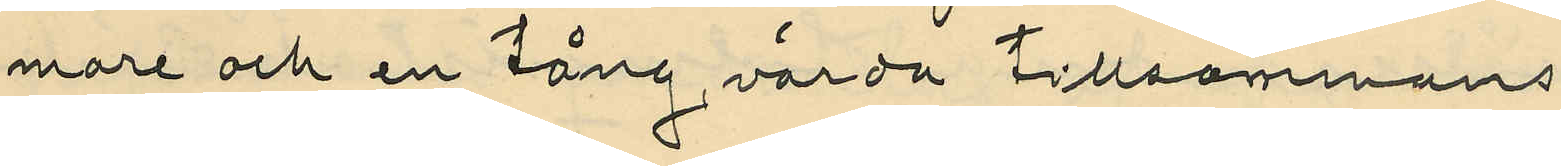mare och en tång värda tillsammans
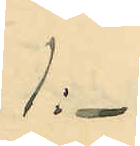1:-
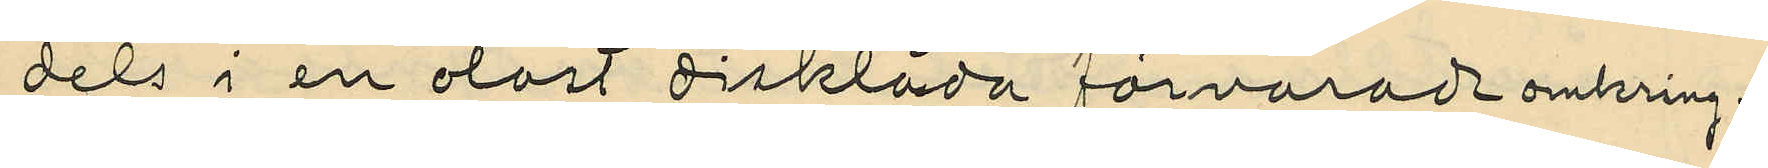dels i en olåst disklåda förvarade omkring
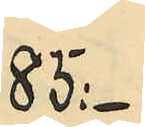85:-
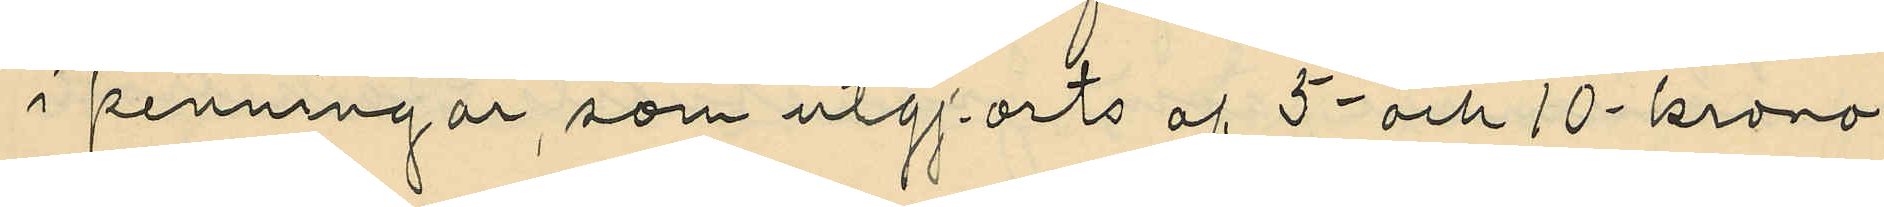i penningar, som utgjorts af 5- och 10-krono¬
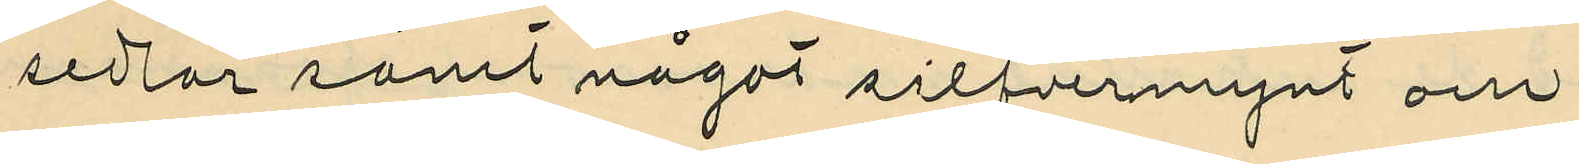sedlar samt något silfvermynt och
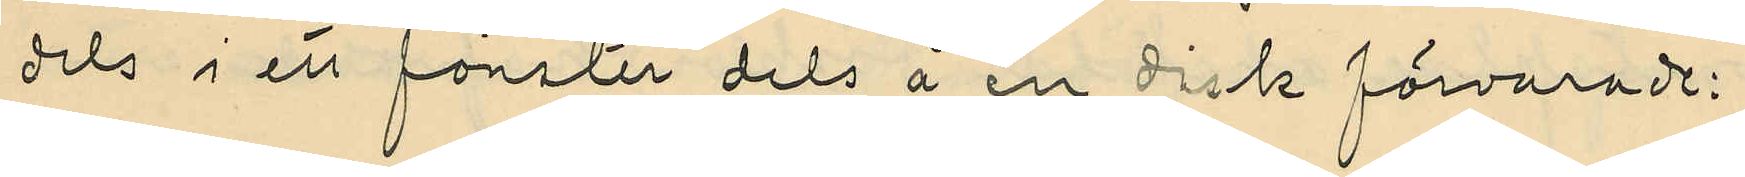dels i ett fönster dels å en disk förvarade:
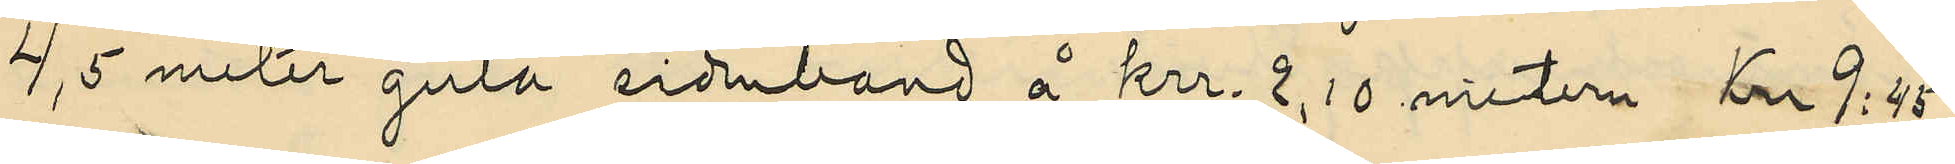4,5 meter gula sidenband á krr. 2,10 metern Kr 9:45
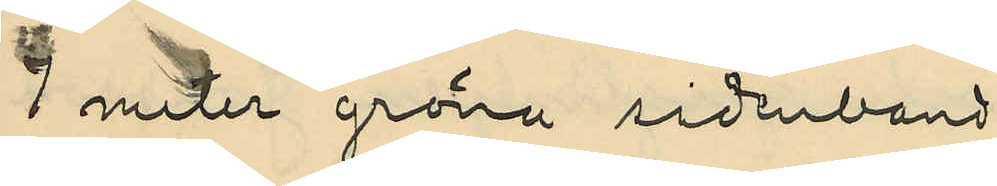1 meter gröna sidenband
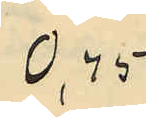0,45
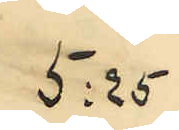5:25
